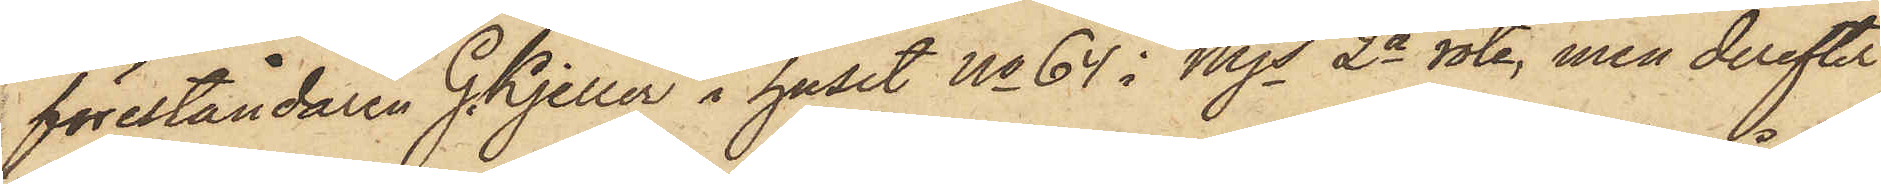föreståndaren G. Kjeller i huset No 64 i Mjs 2a rote, men derefter
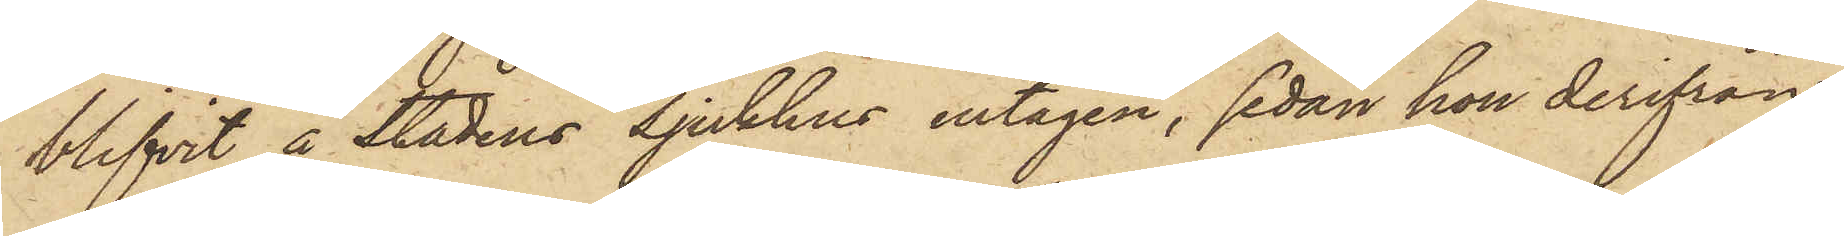blifvit å Stadens Sjukhus intagen, sedan hon derifrån
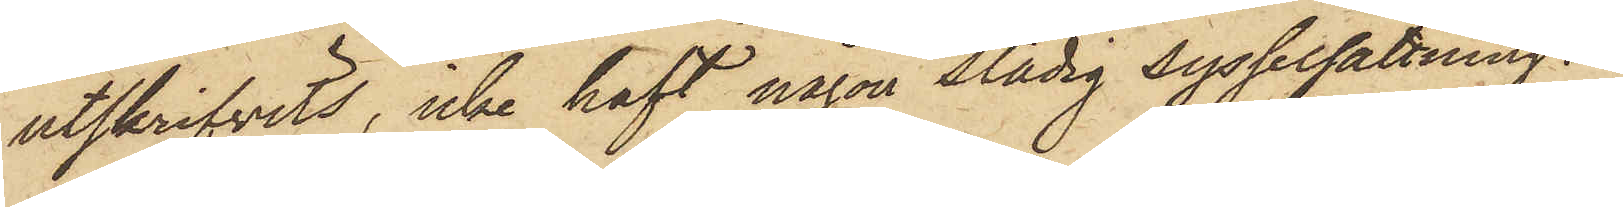utskrifvits, icke haft någon stadig sysselsättning.
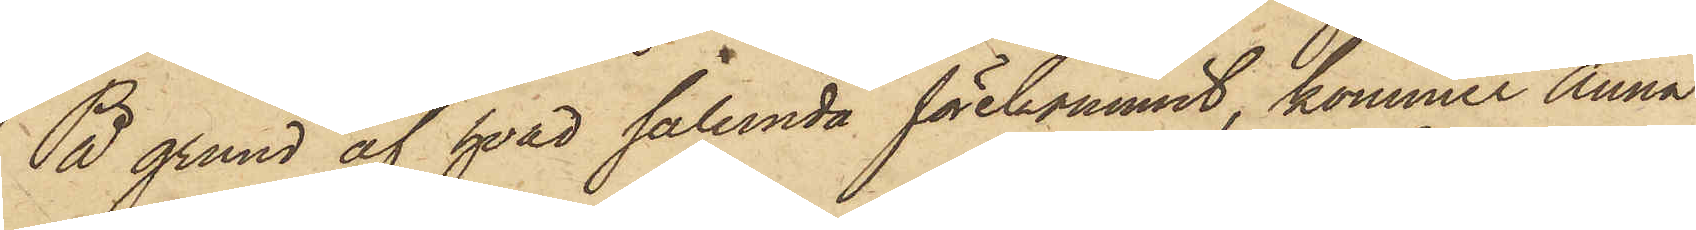På grund af hvad sålunda förekommit, kommer Anna
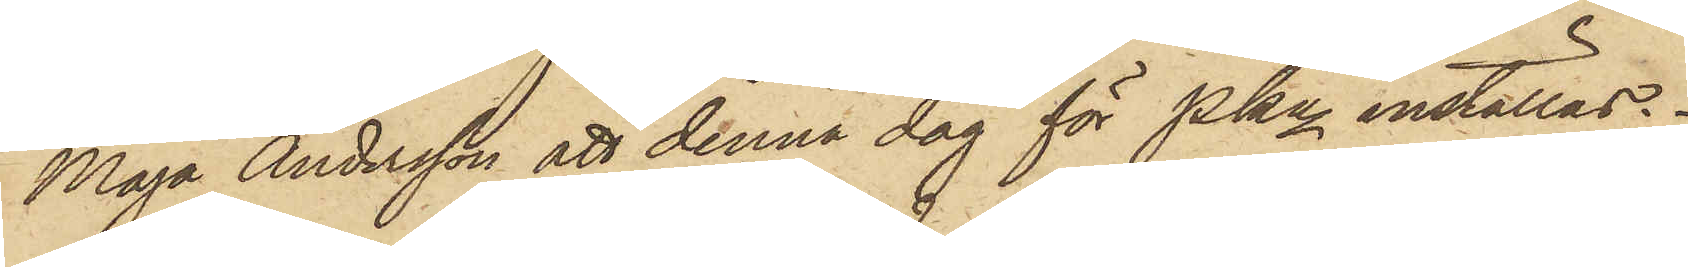Maja Andersson att denna dag för Pkn inställas.
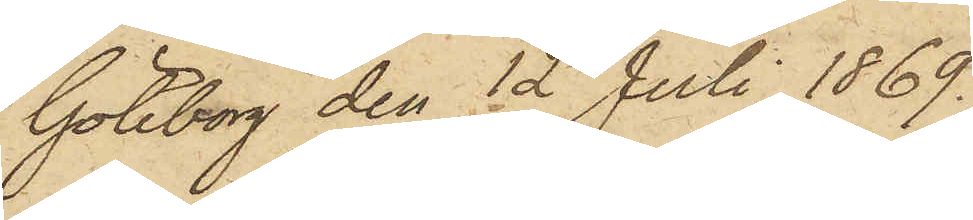Göteborg den 12 Juli 1869.
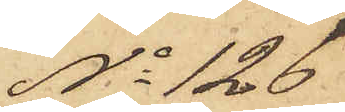No 126
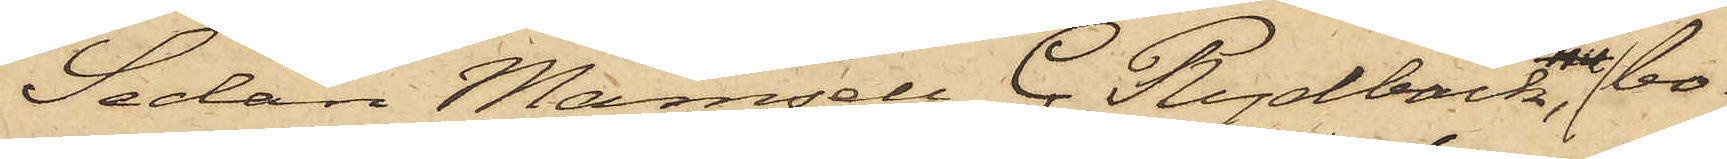Sedan Mamsell C. Rydbäck, bo¬
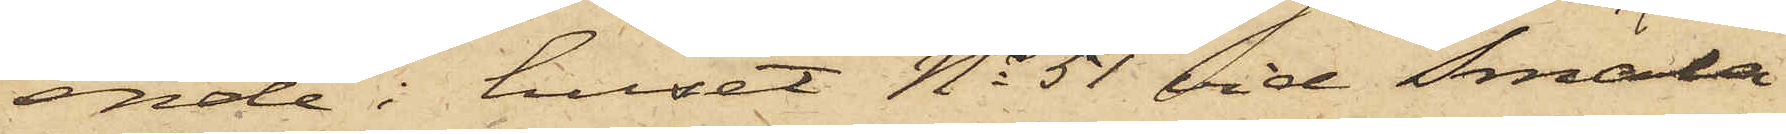ende i huset No 51 vid Smala
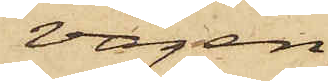vägen
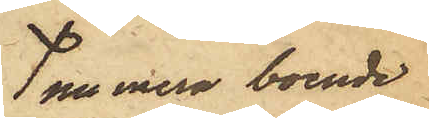numera boende
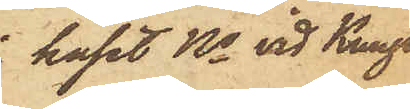huset No vid Kungs¬
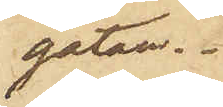gatan.
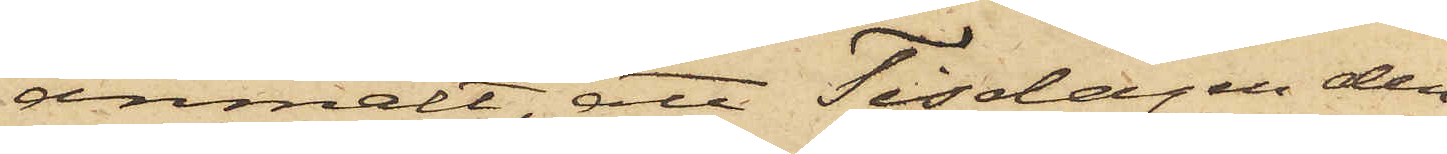anmält, att Tisdagen den
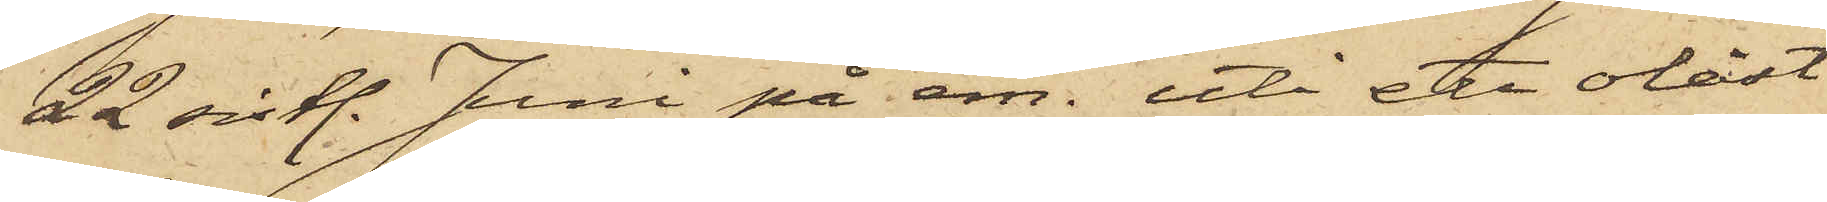22 sistl. Juni på em. uti ett olåst
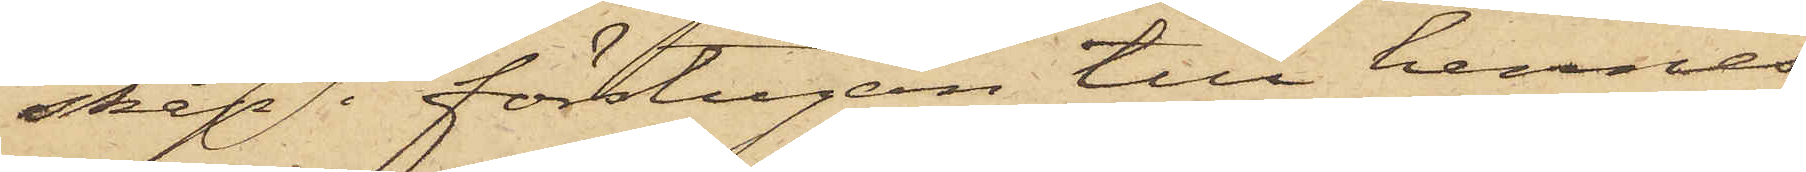skåp i förstugan till hennes
